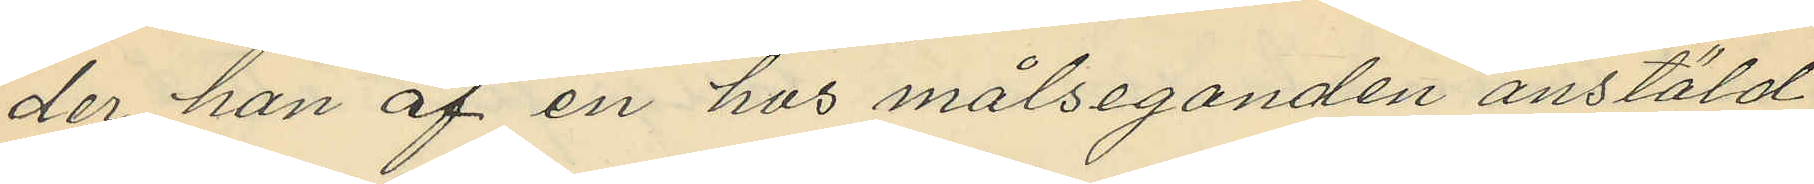der han af en hos målseganden anstäld
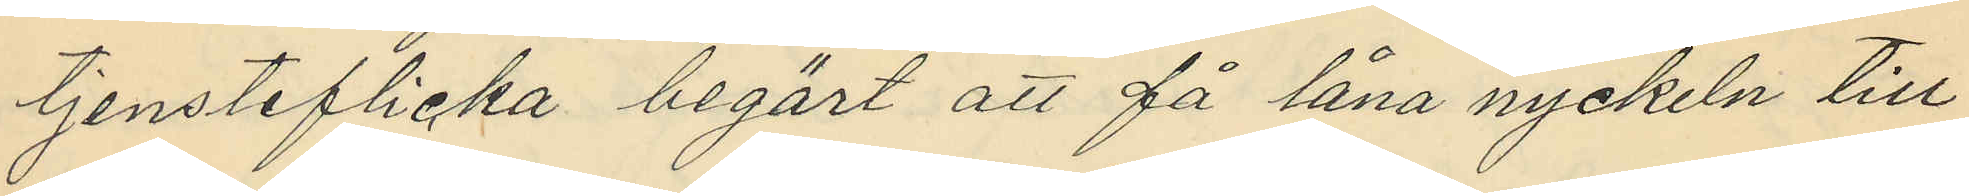tjensteflicka begärt att få låna nyckeln till
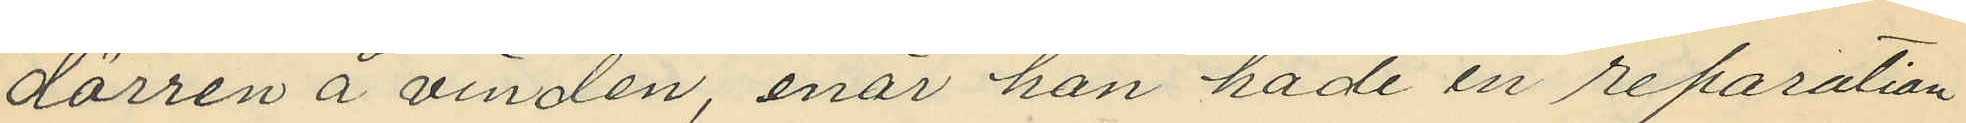dörren å vinden, enär han hade en reparation
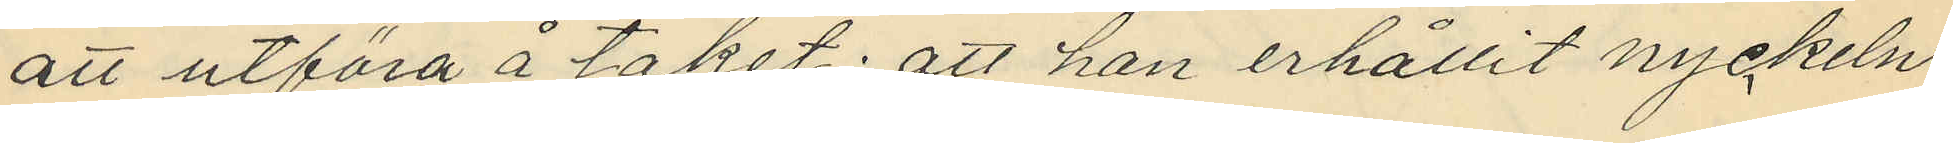att utföra å taket; att han erhållit nyckeln,
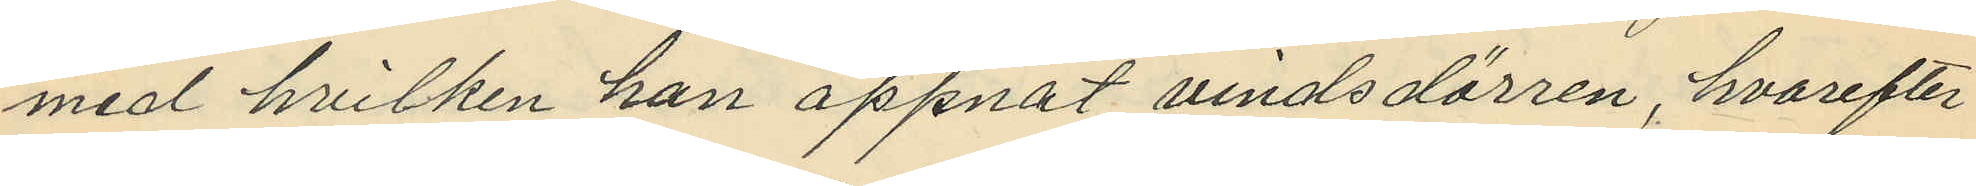med hvilken han öppnat vindsdörren, hvarefter
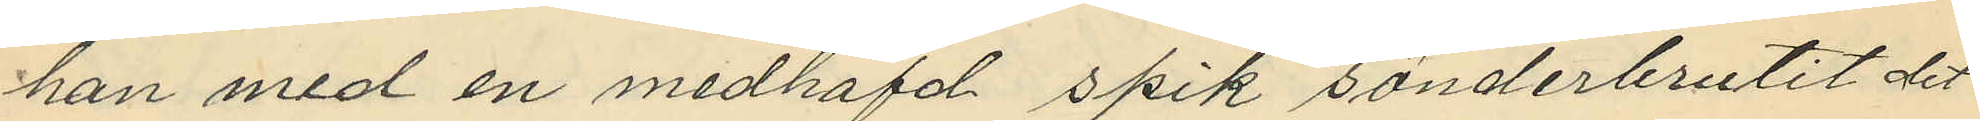han med en medhafd spik sönderbrutit det
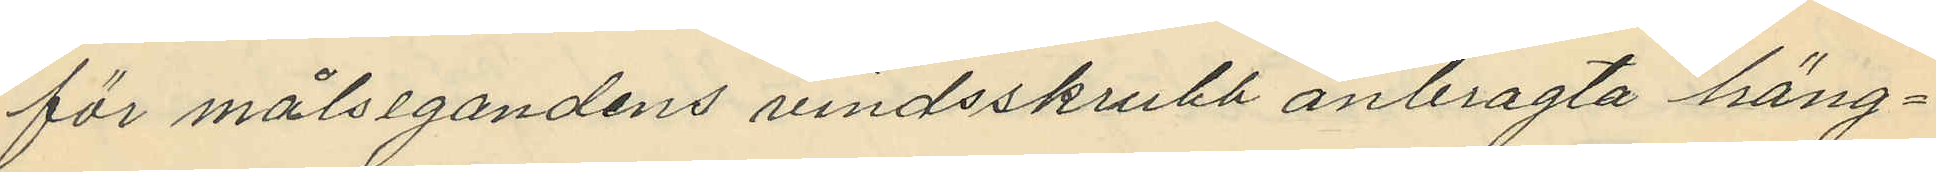för målsegandens vindsskrubb anbragta häng¬
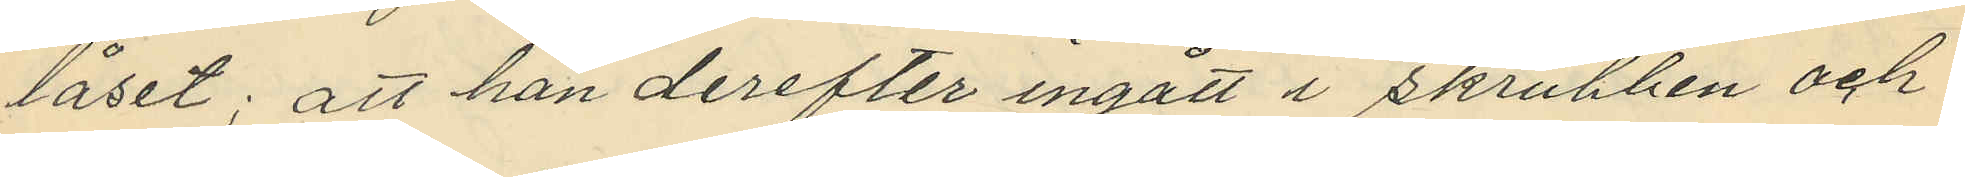låset; att han derefter ingått i skrubben och
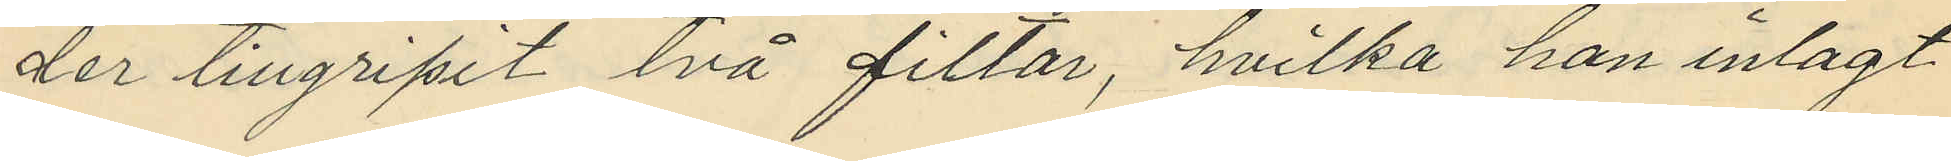der tillgripit två filtar, hvilka han inlagt
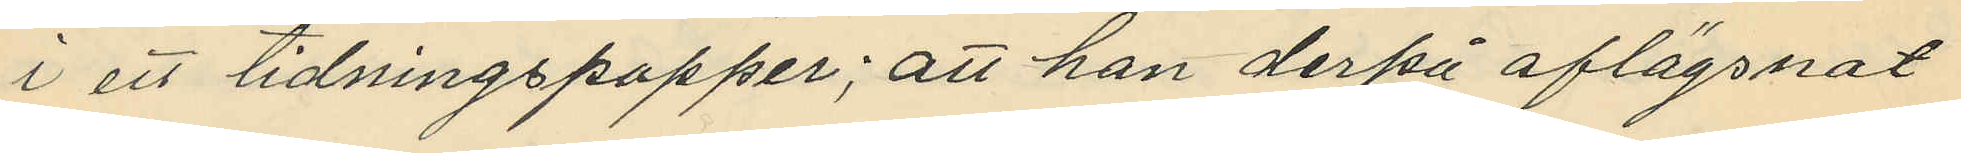i ett tidningspapper; att han derpå aflägsnat
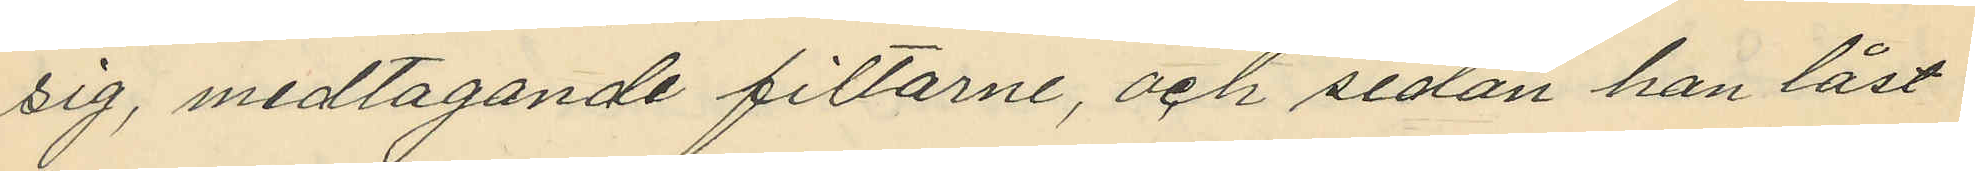sig, medtagande filtarne, och sedan han låst
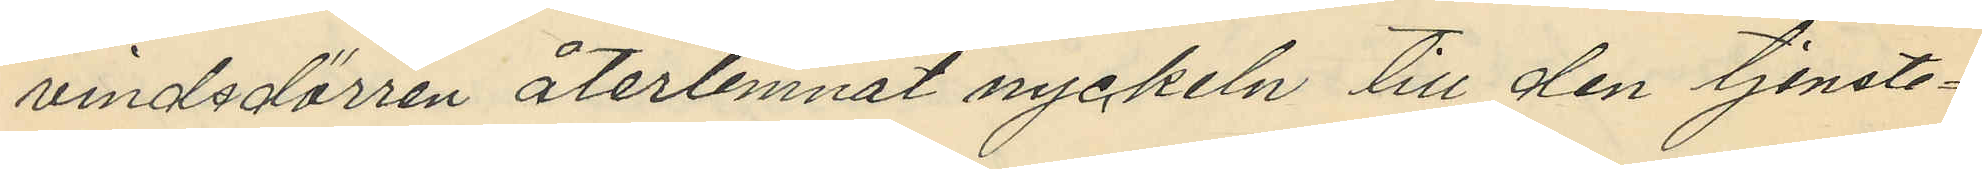vindsdörren återlemnat nyckeln till den tjenste¬
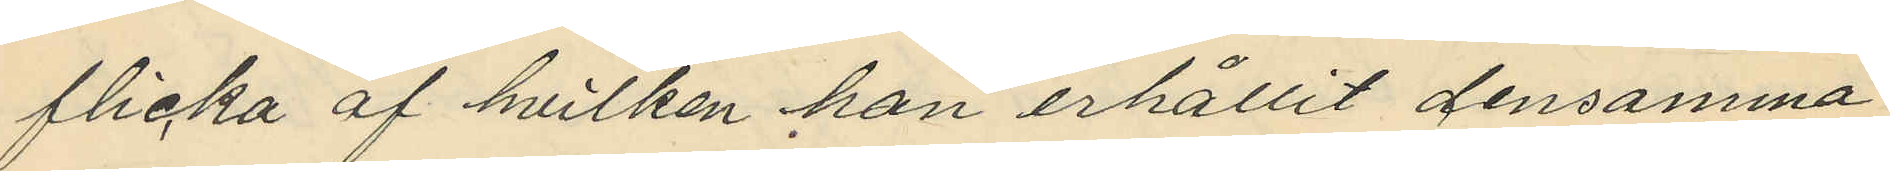flicka af hvilken han erhållit densamma
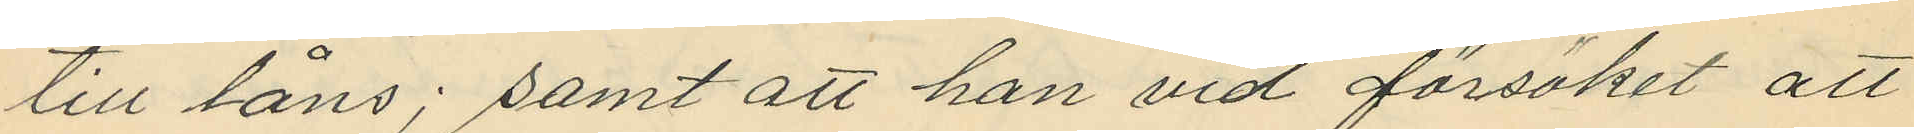till låns; samt att han vid försöket att
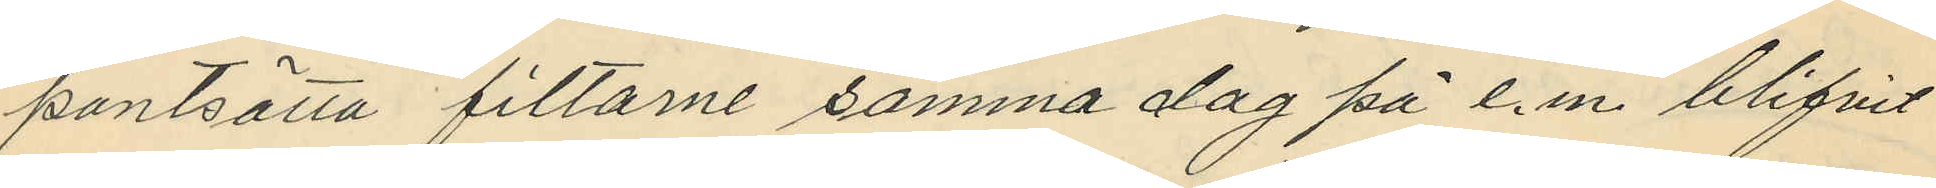pantsätta filtarne samma dag på e.m. blifvit
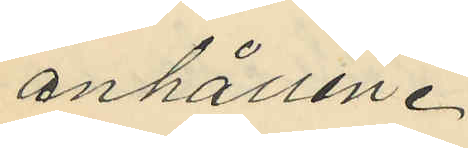anhållen.
